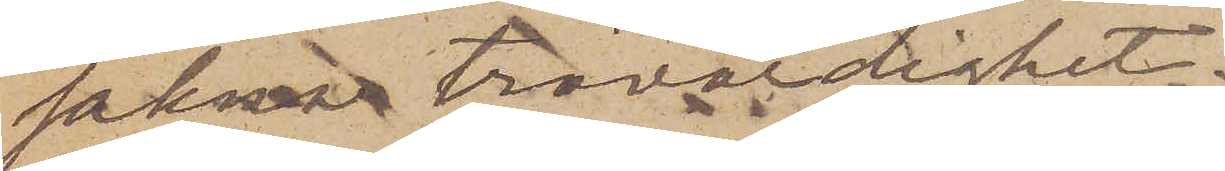sakna trovärdighet.
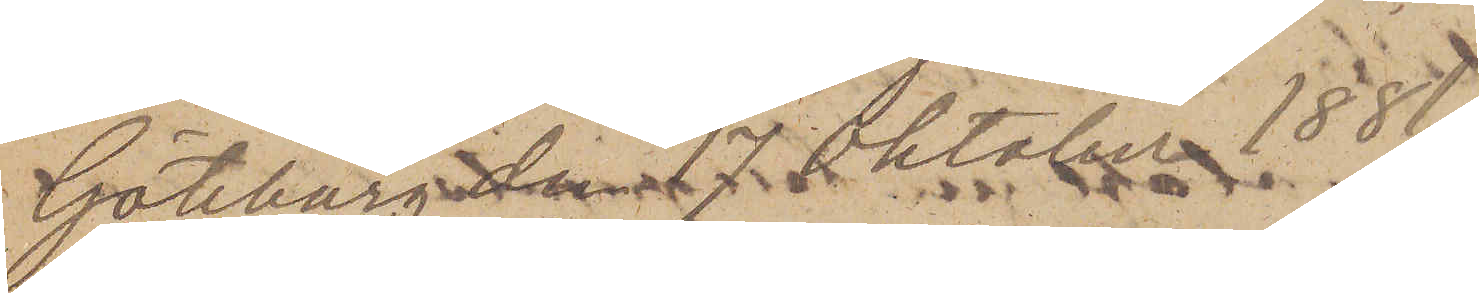Göteborg han 17 Oktober 1881.
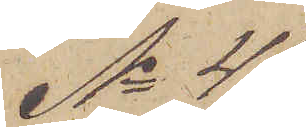No 45
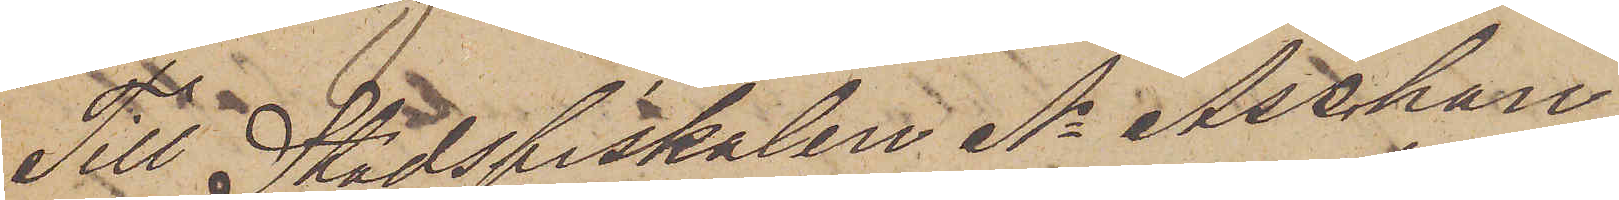Till Stadsfiskalen A. Aschan
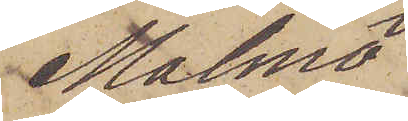Malmö
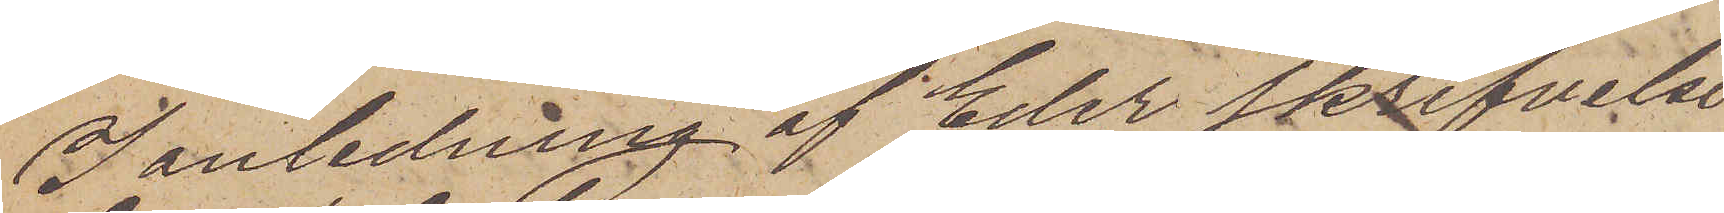I anledning af Eder skrifvelse
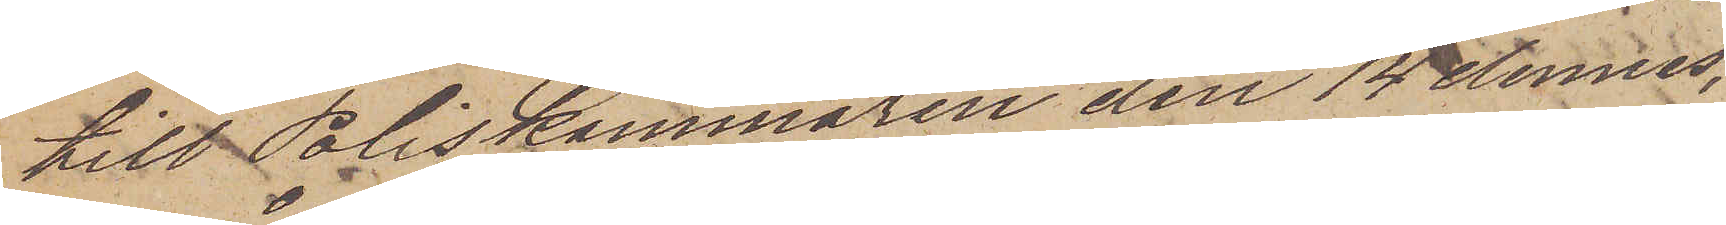till Poliskammaren den 14 dennes,
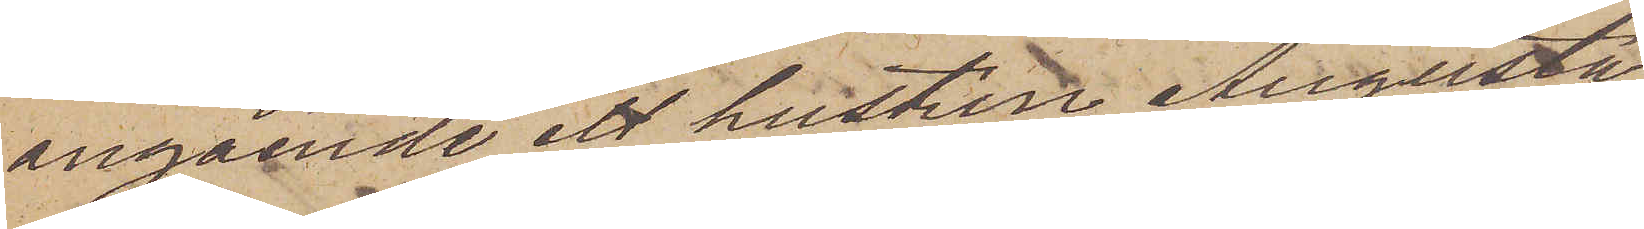angående ett hustrun Augusta
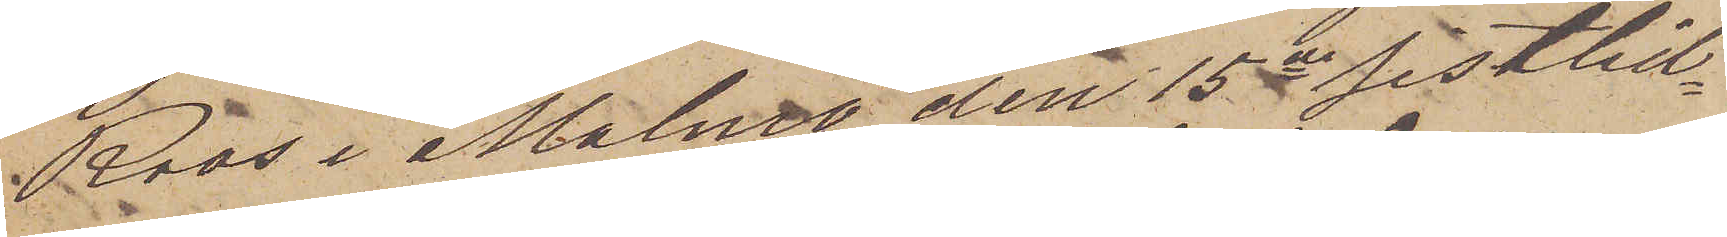Roos i Malmö den 15de sistlid¬
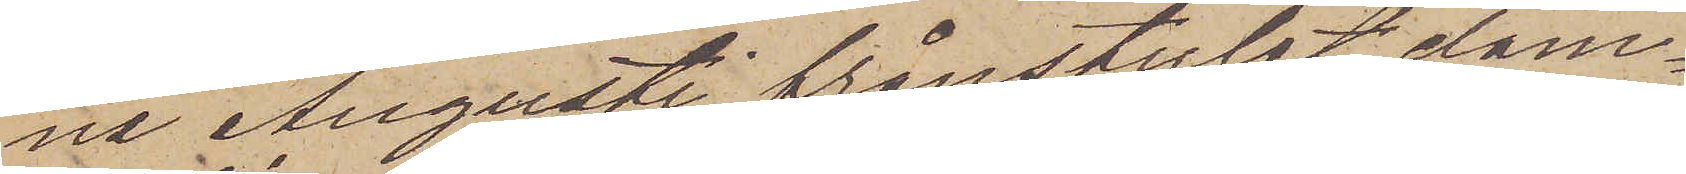na Augusti frånstulet dam¬
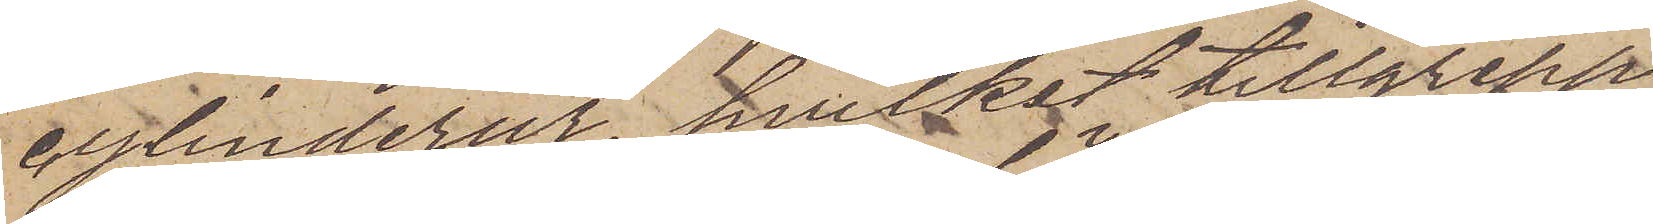cylinderur, hvilket tillgrepp
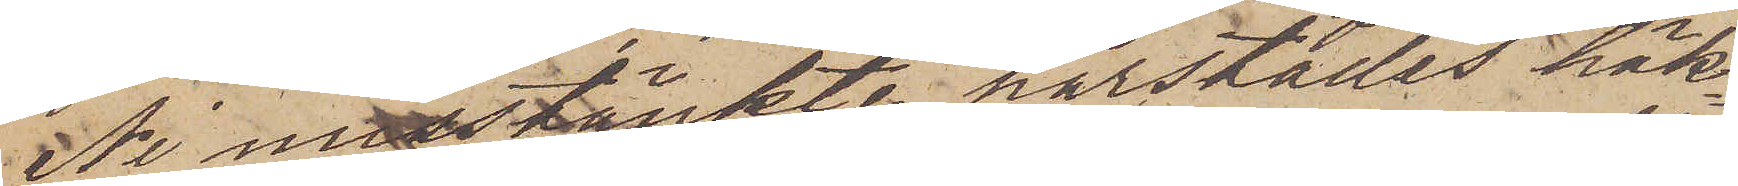Ni misstänkte härstädes häk¬
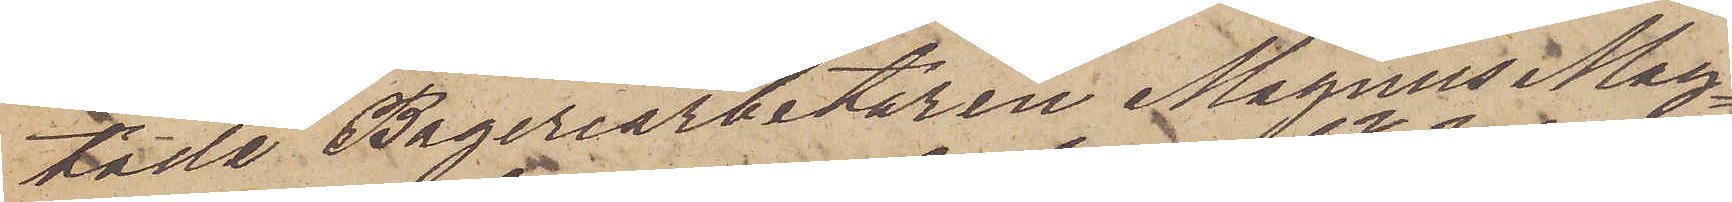tade Bageriarbetaren Magnus Mag¬
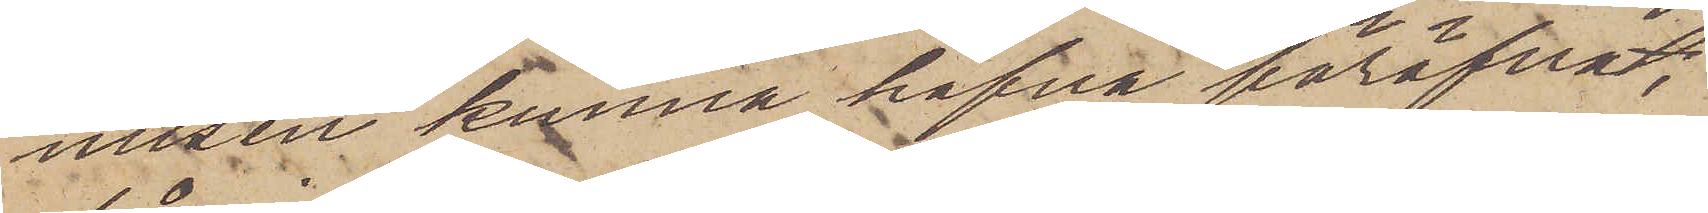nusen kunna hafva föröfvat;
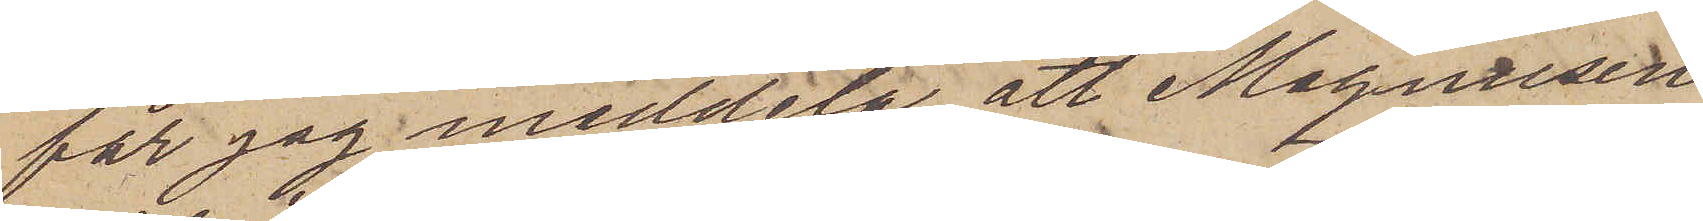får jag meddela, att Magnusen
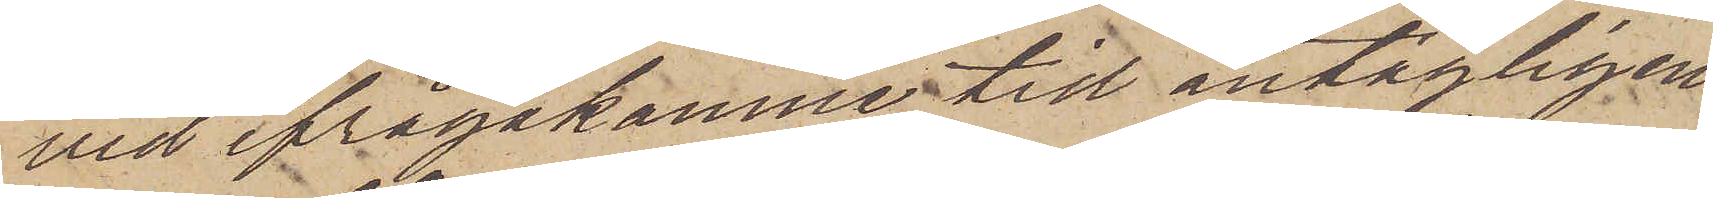vid ifrågakomne tid antagligen
